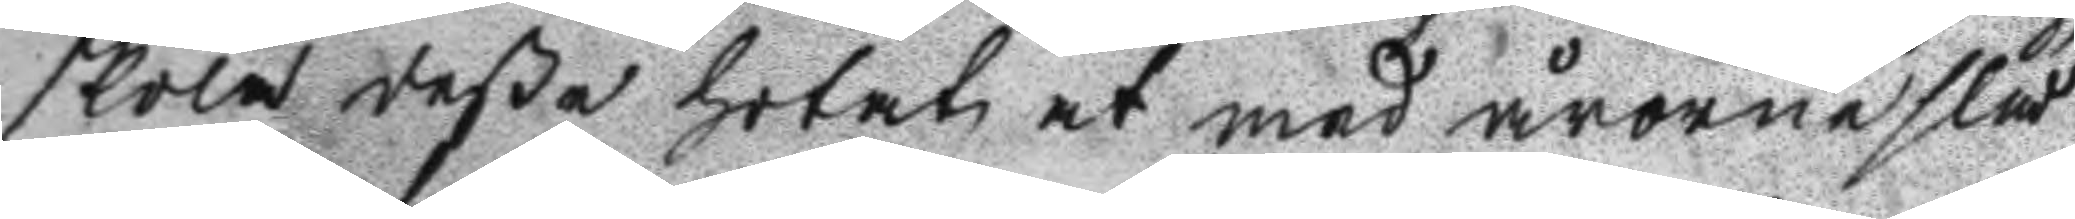skola deßa hotat at med årorne slå
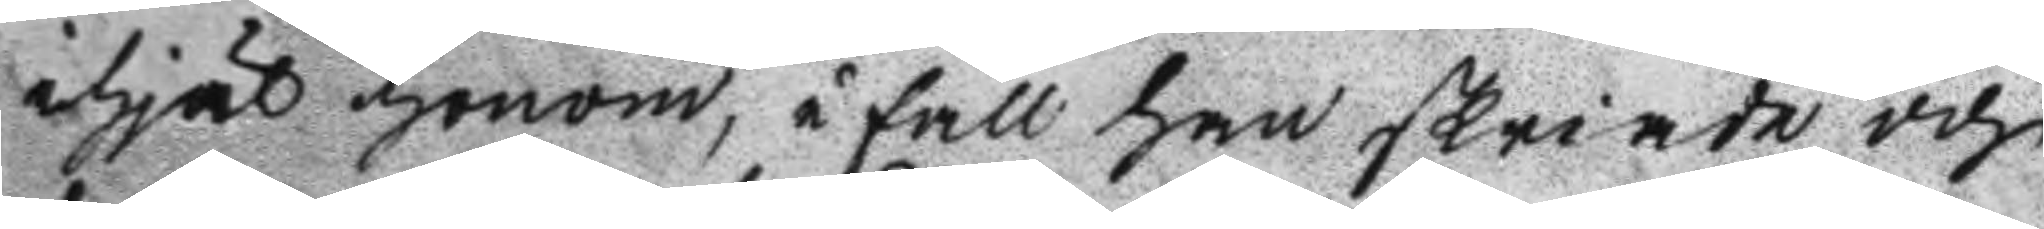ihjäl honom, i fall han skriade och
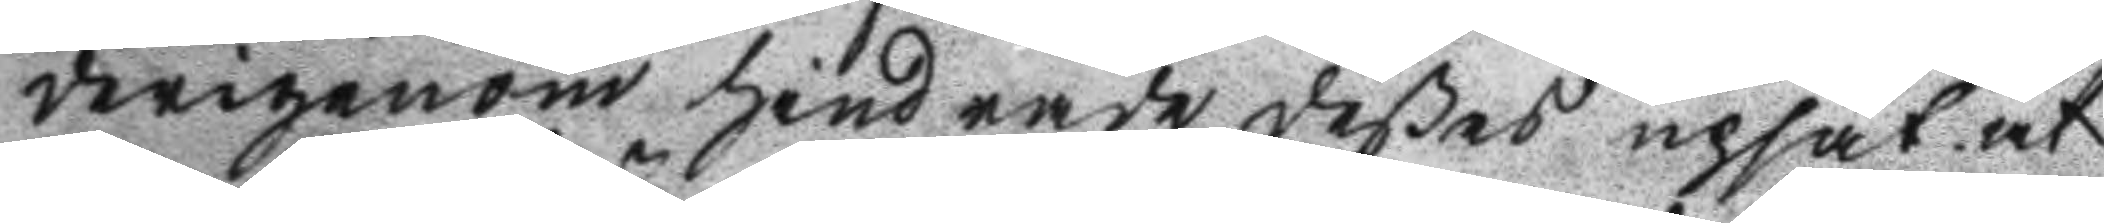derigenom hindrade deßes upsåt at
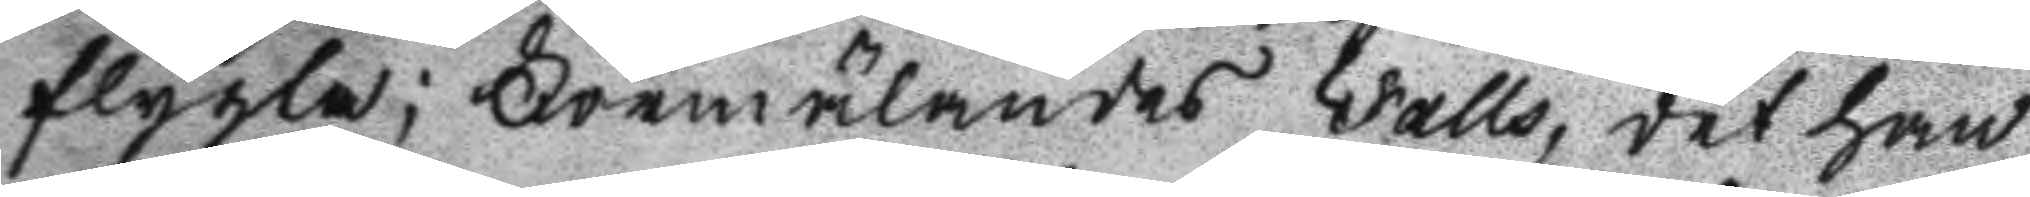flygta; Förmälandes Falls, det han
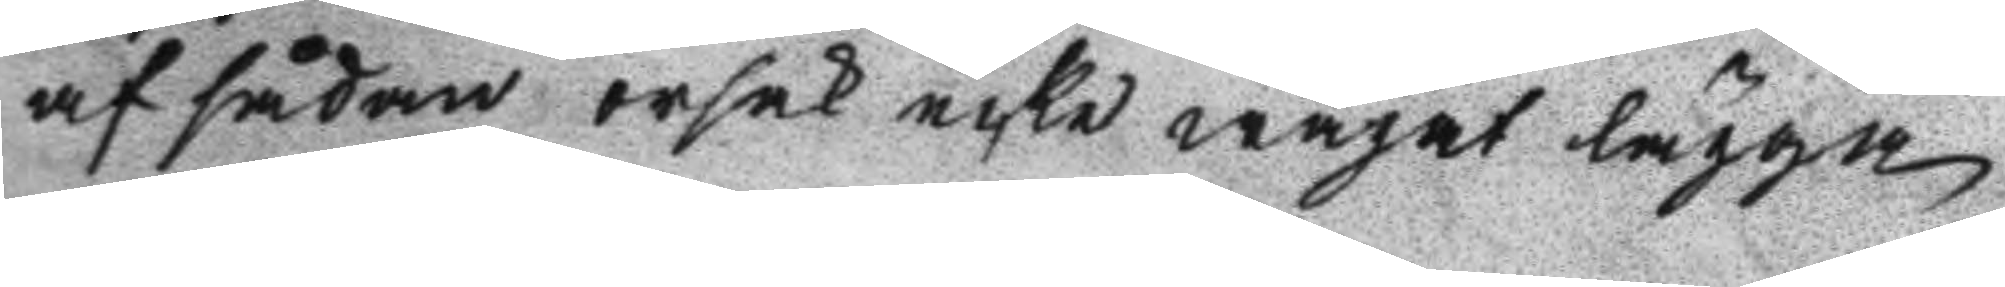af sådan orsak icke wågat lägga
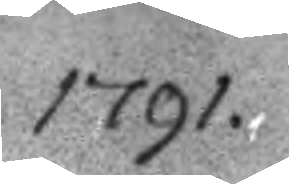1791.
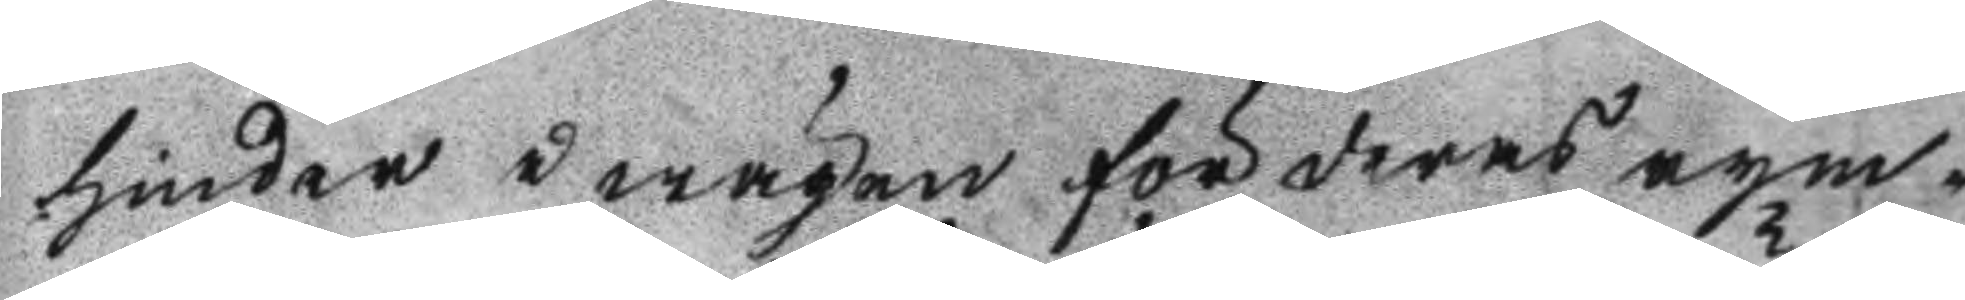hinder i wägen för deras rym¬
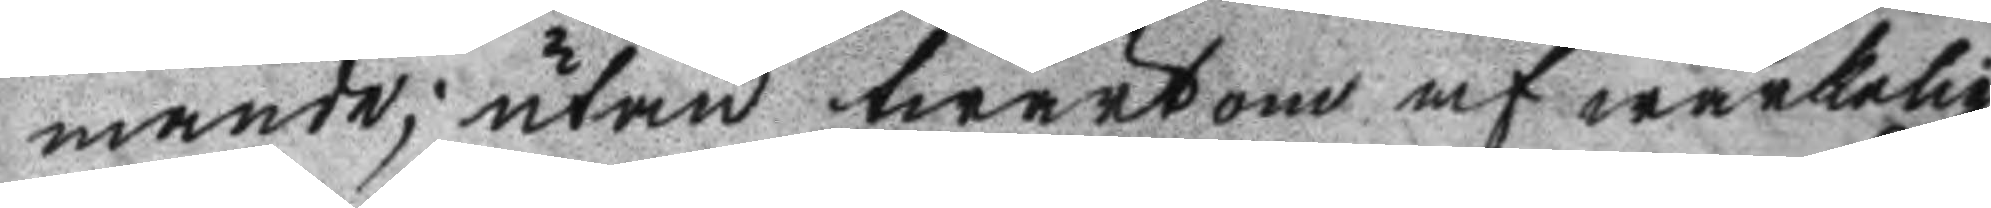mande; utan twärtom af wärkelig
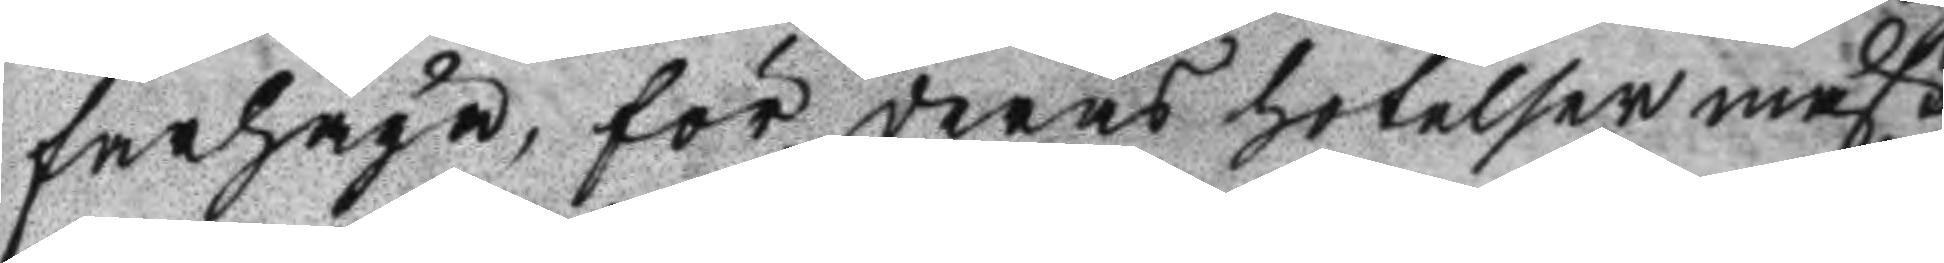farhåga, för deras hotelser måst
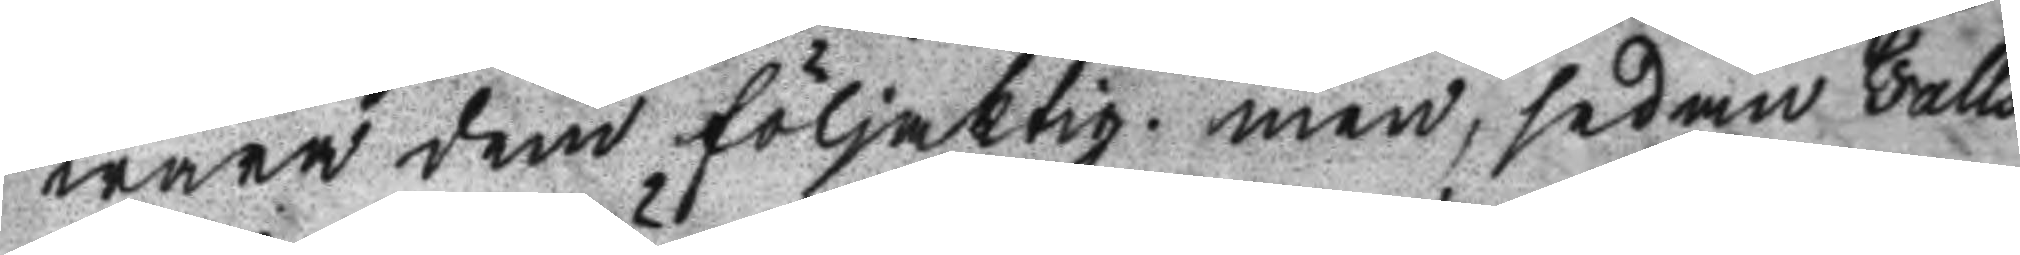wara dem följaktig men, sedan Falls
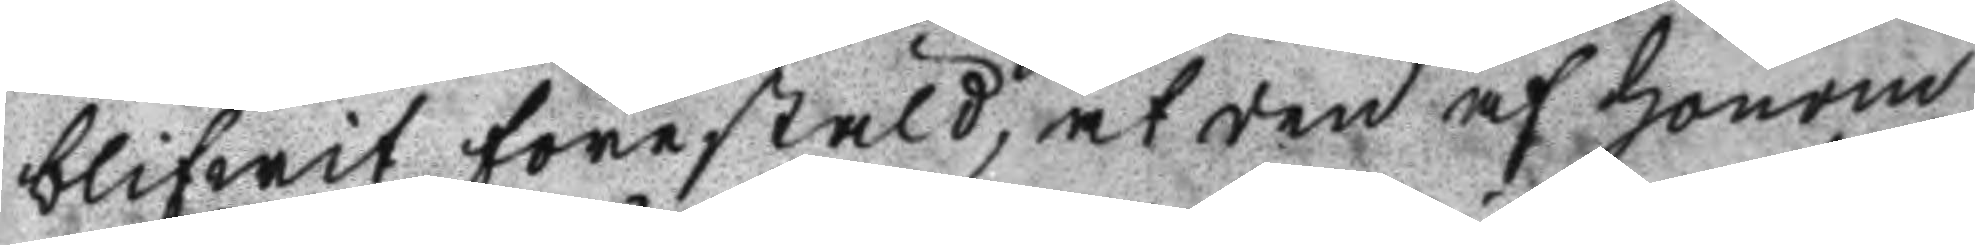blifwit förestäld, at den af honom
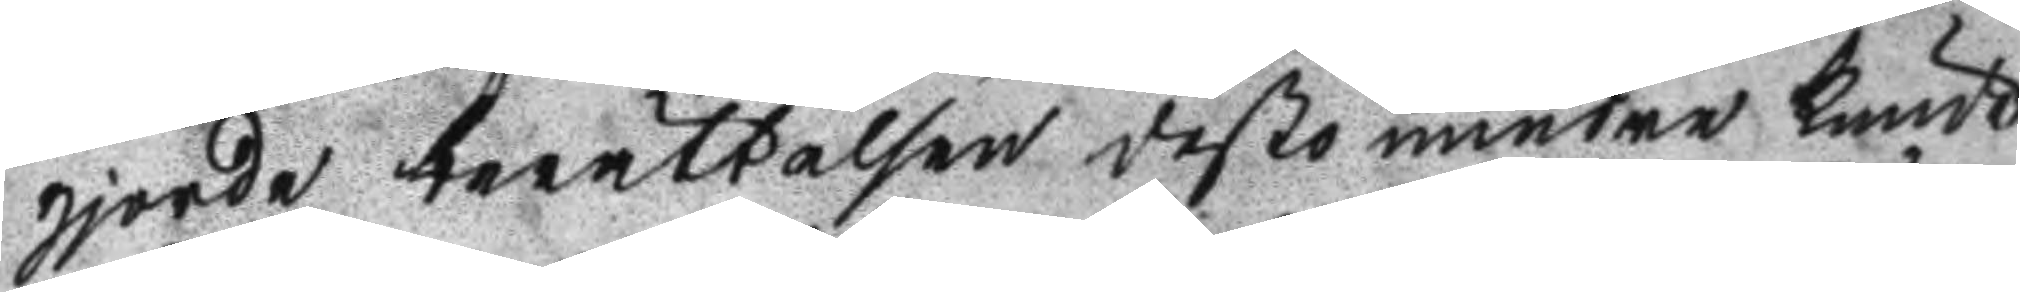gjorde berättelsen desto mindre kunde
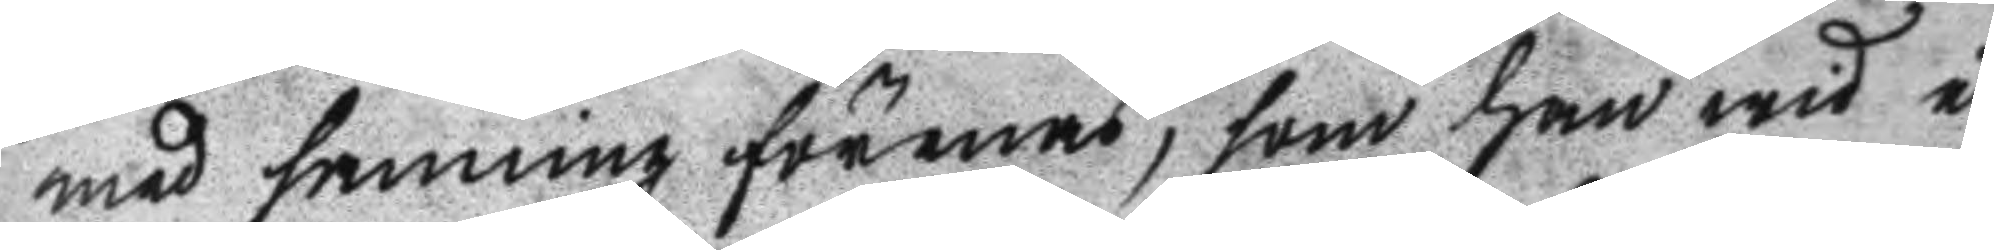med sanning förenas, som han wid i
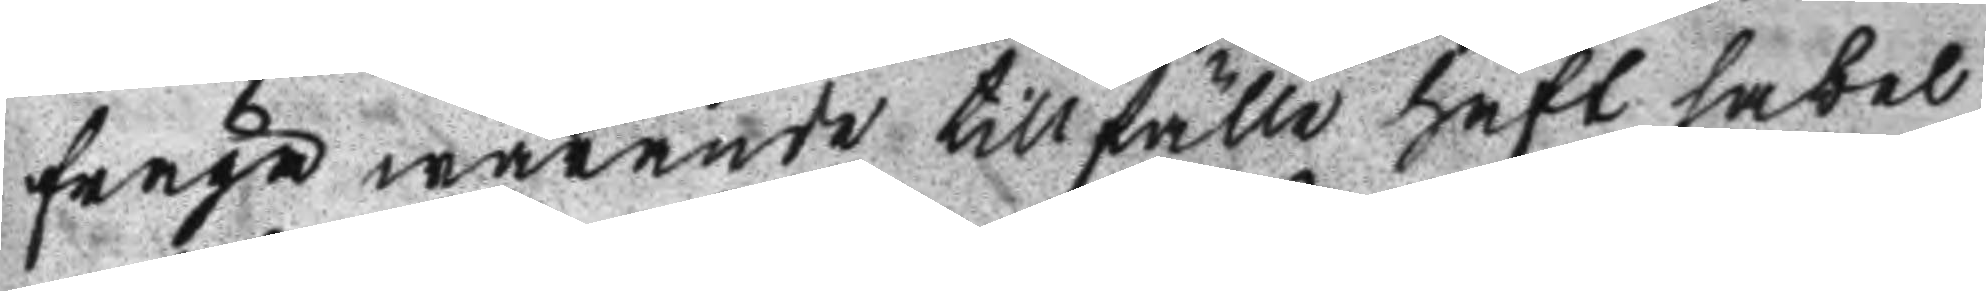fråga warande tillfälle haft sabel
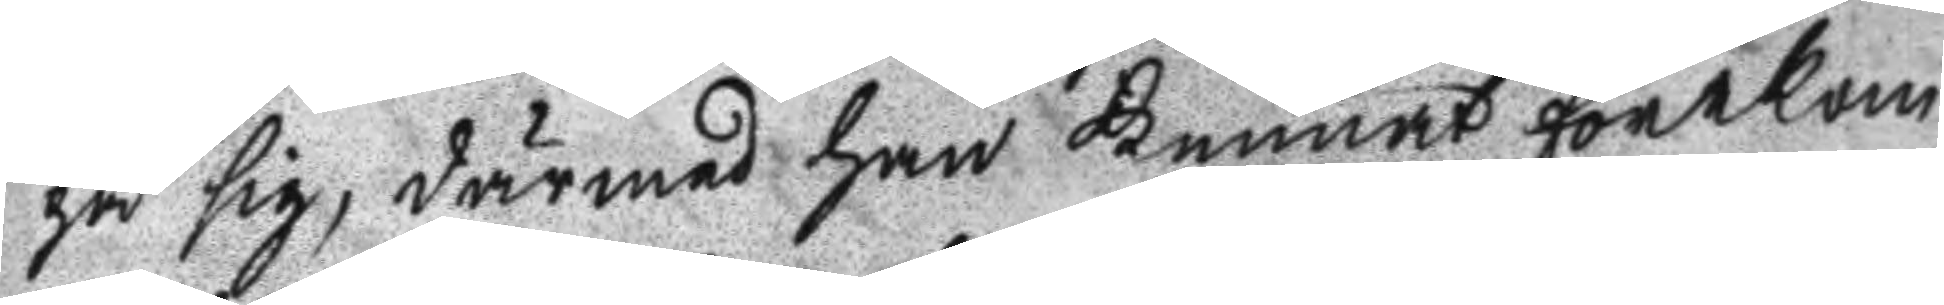på sig, därmed han kunnat förekom
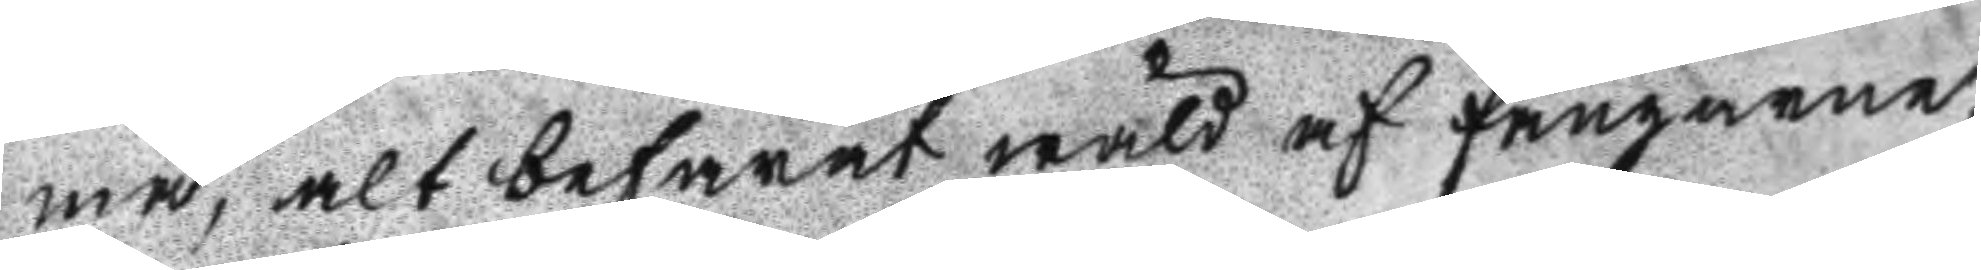ma, alt befarat wåld af fångarne,
